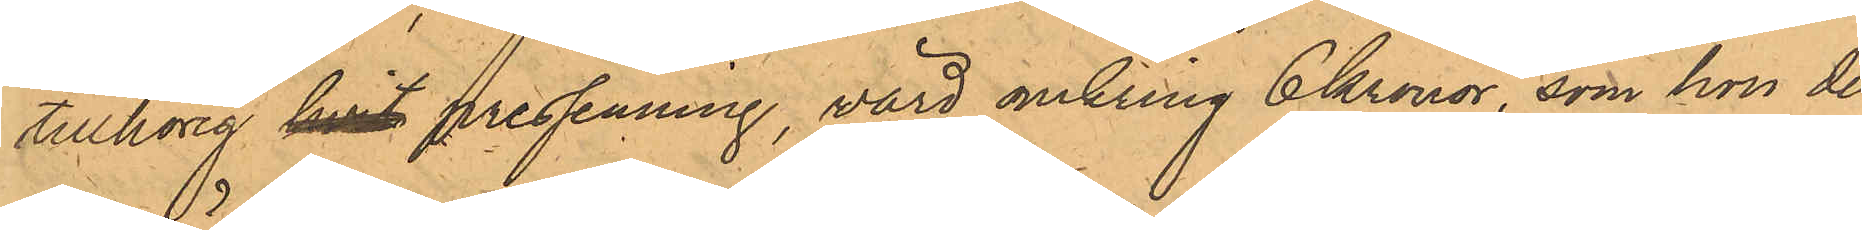tillhörig hvit pressenning, värd omkring 6 Kronor, som hon der¬
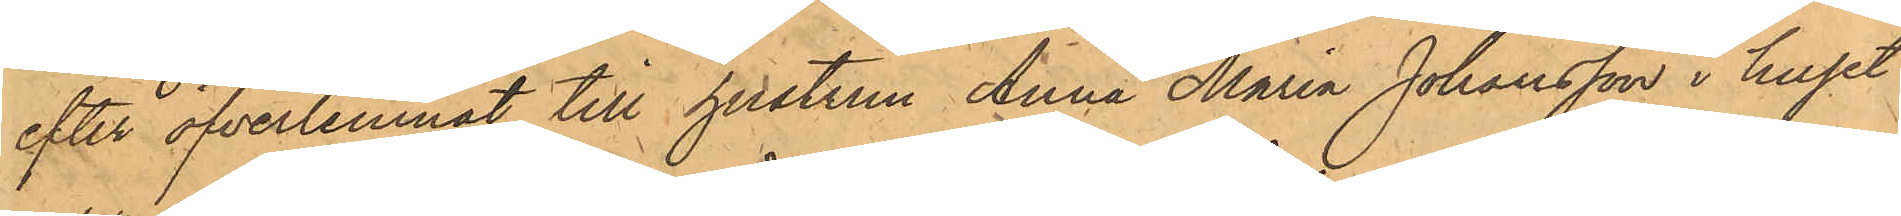efter öfverlemnat till hustrun Anna Maria Johansson i huset
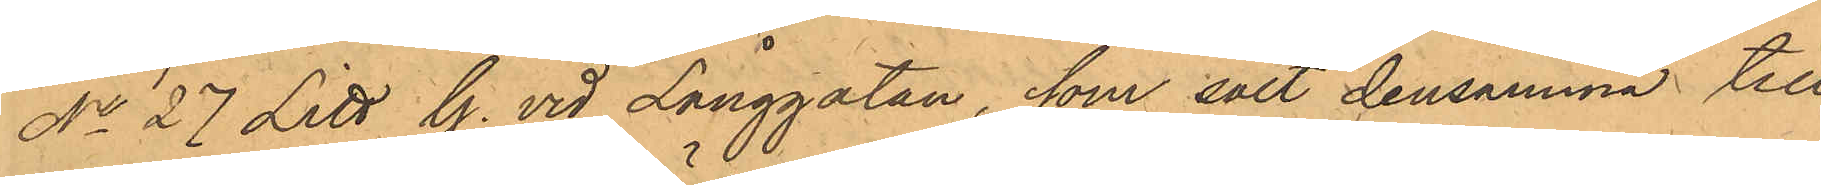No 27 Litt. G. vid Långgatan, som sålt densamma till
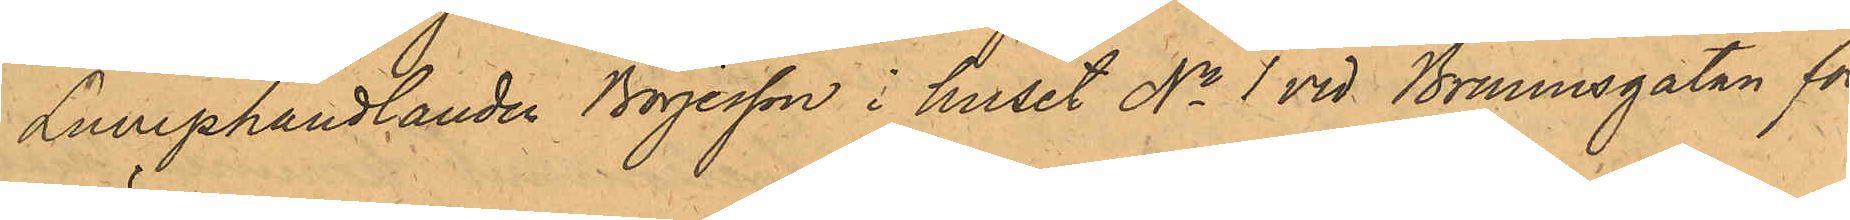Lumphandlanden Börjesson i huset No 1 vid Brunnsgatan för
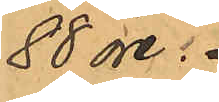88 öre.
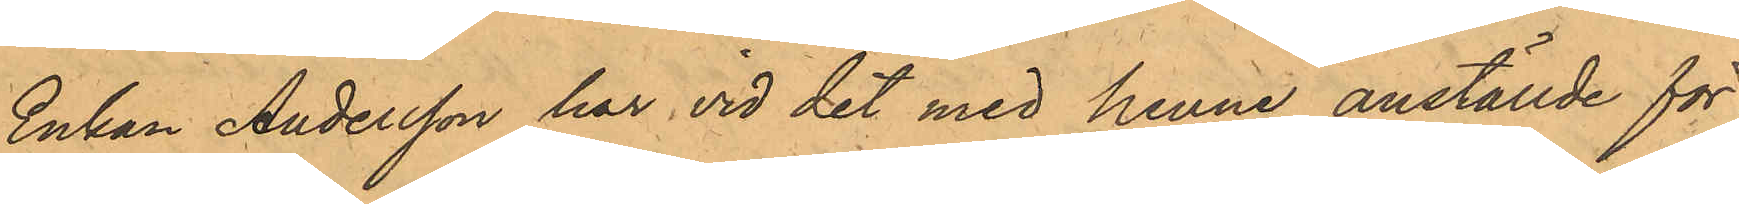Enkan Andersson har vid det med henne anställde för¬
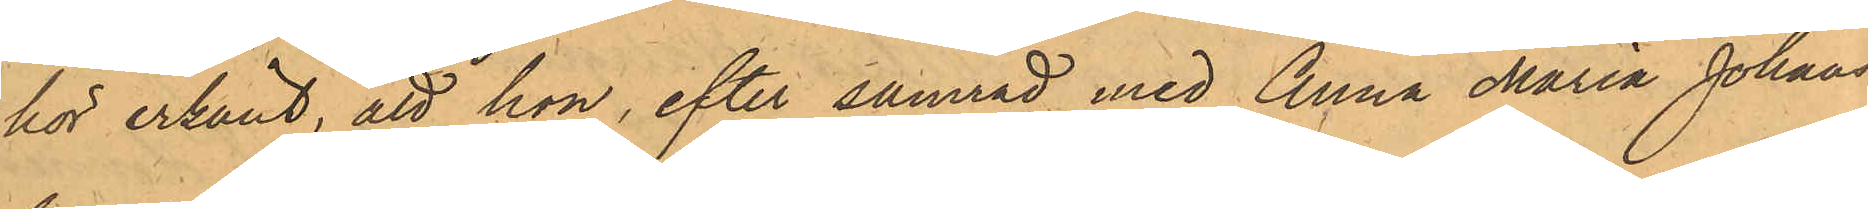hör erkänt, att hon, efter samråd med Anna Maria Johans¬
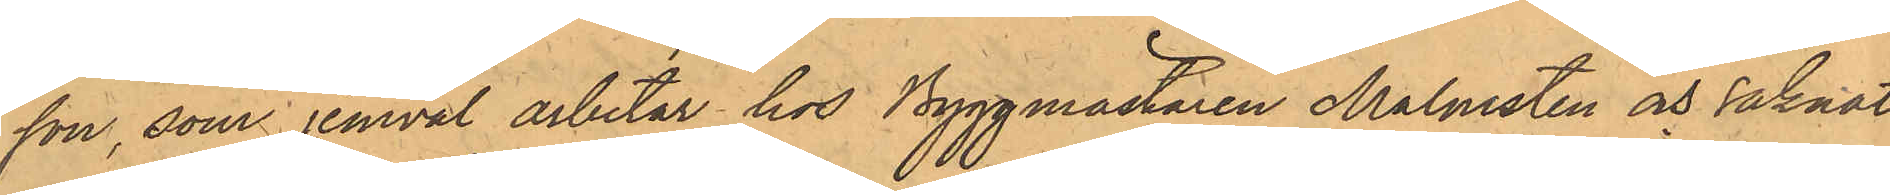son, som jemväl arbetar hos Byggmästaren Malmsten och saknat
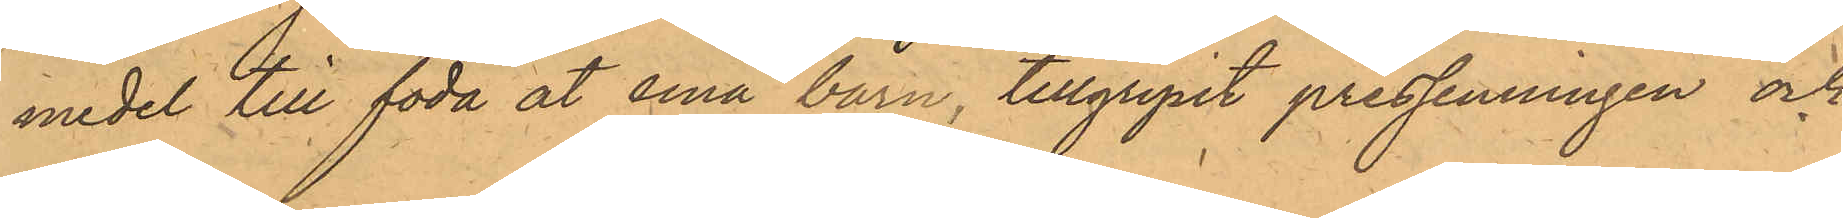medel till föda åt sina barn, tillgripit pressenningen och
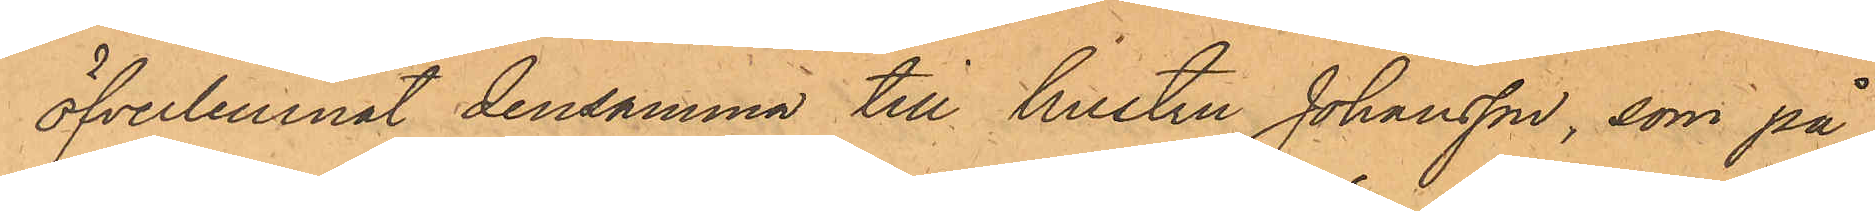öfverlemnat densamma till hustru Johansson, som på
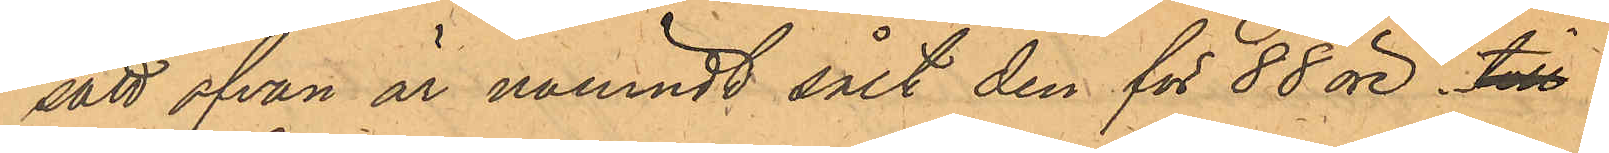sätt ofvan är nämndt sålt den för 88 öre. till
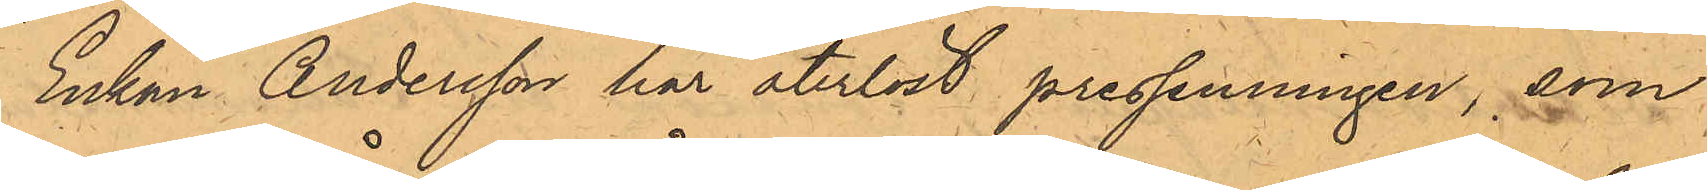Enkan Andersson har återlöst pressenningen, som
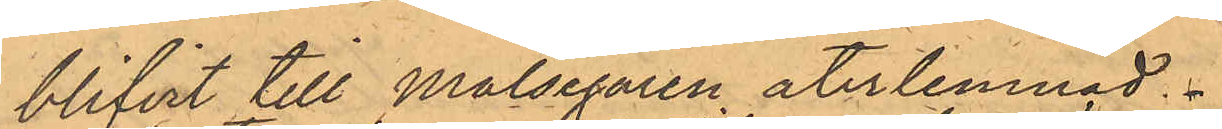blifvit till Målsegaren återlemnad.
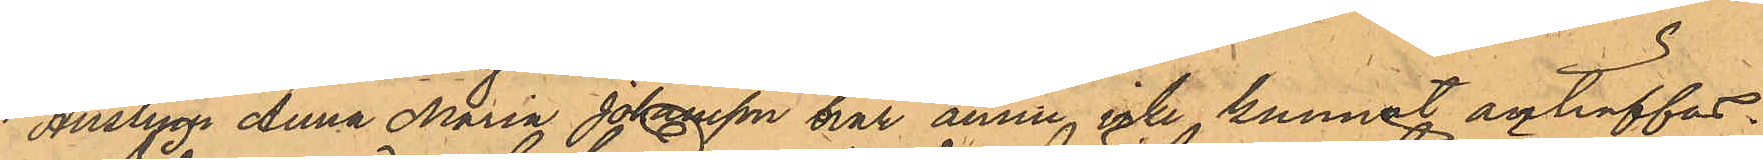Hustrun Anna Maria Johansson har ännu icke kunnat anträffas.
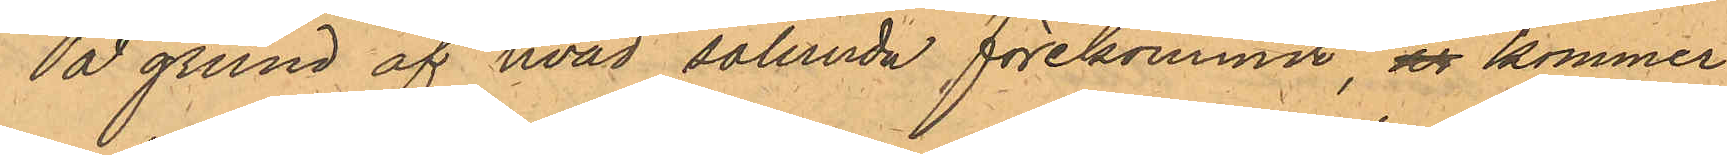På grund af hvad sålunda förekommit, är kommer
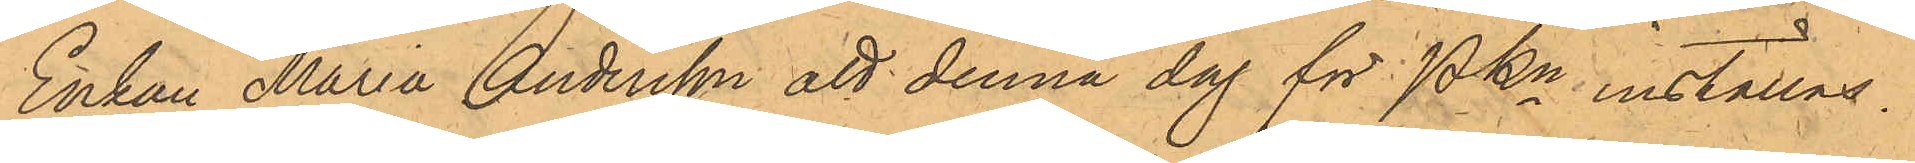Enkan Maria Andersson att denna dag för PKn inställas.
